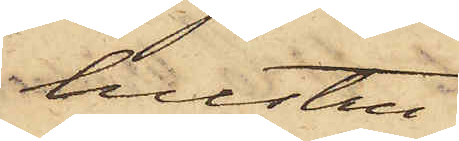hustru
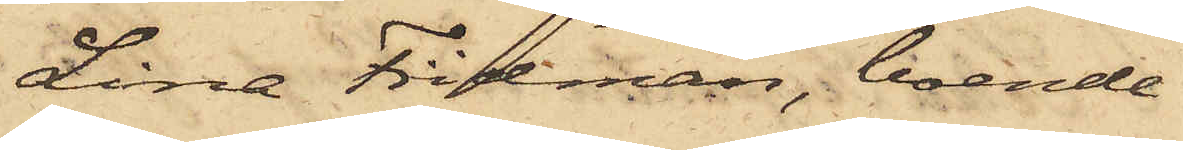Lina Fridman, boende
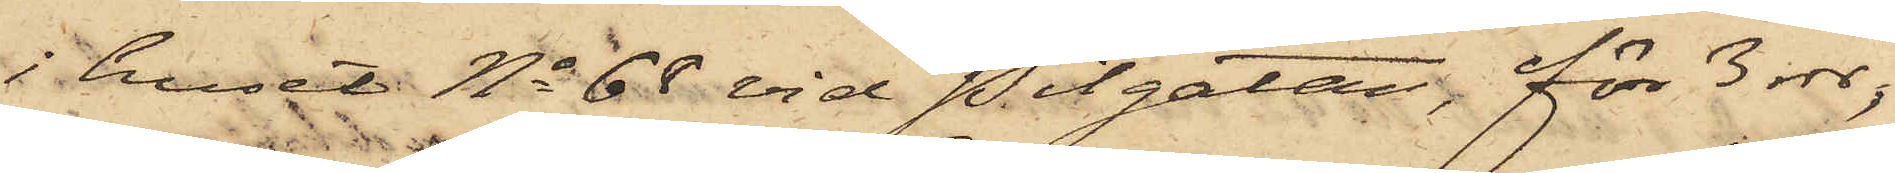i huset No 68 vid Pilgatan, för 3 rdr;
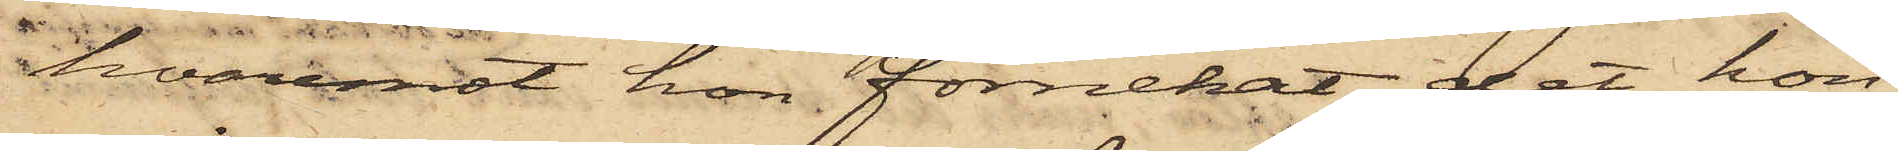hvaremot hon förnekat, det hon
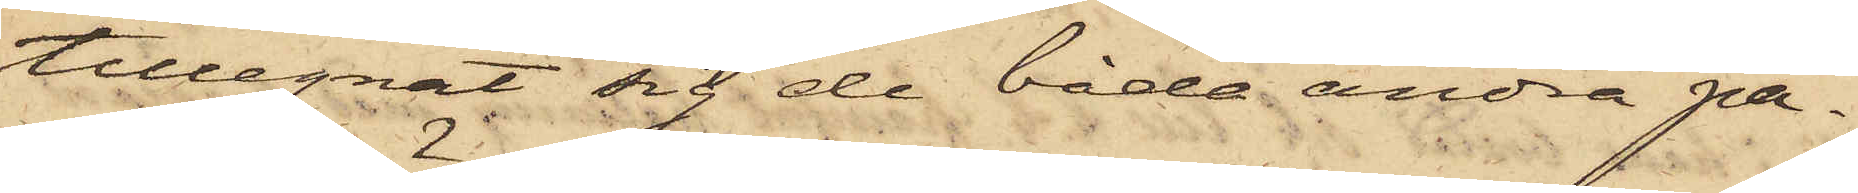tillegnat sig de båda andra pa¬
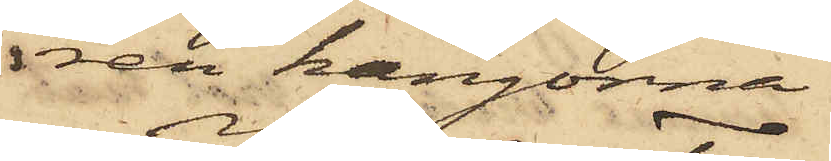ren kängorna.
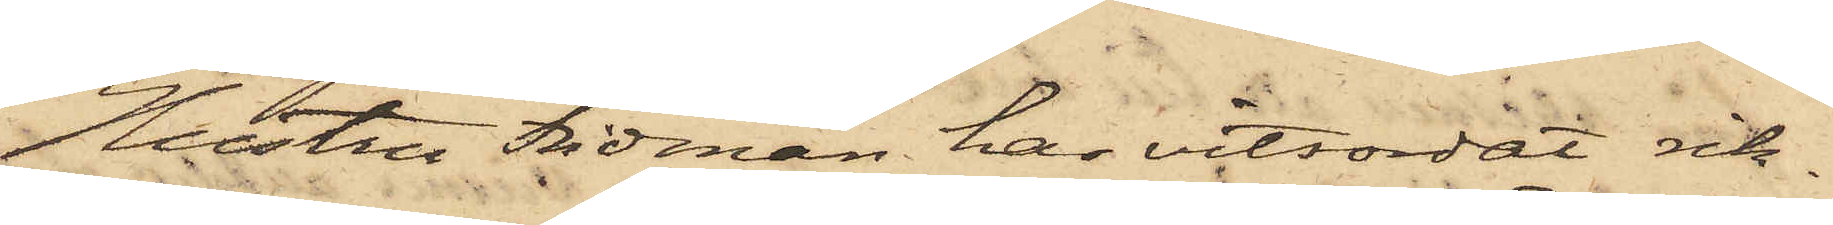Hustru Fridman har vitsordat rik¬
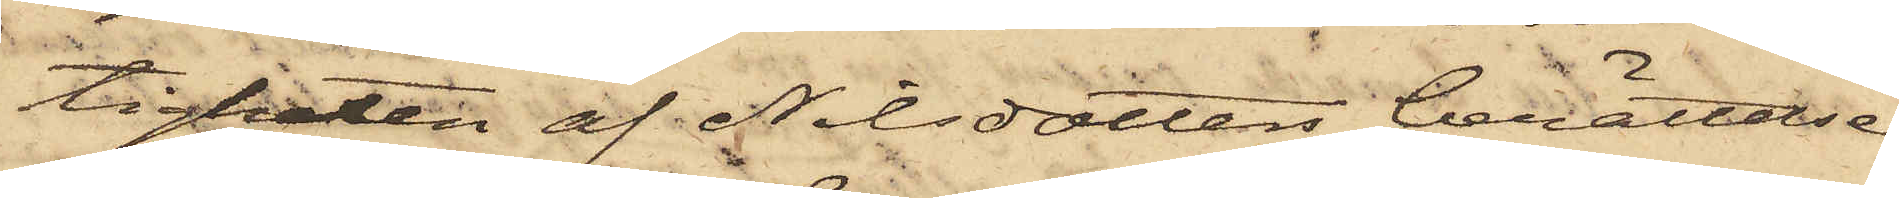tigheten af Nilsdotters berättelse
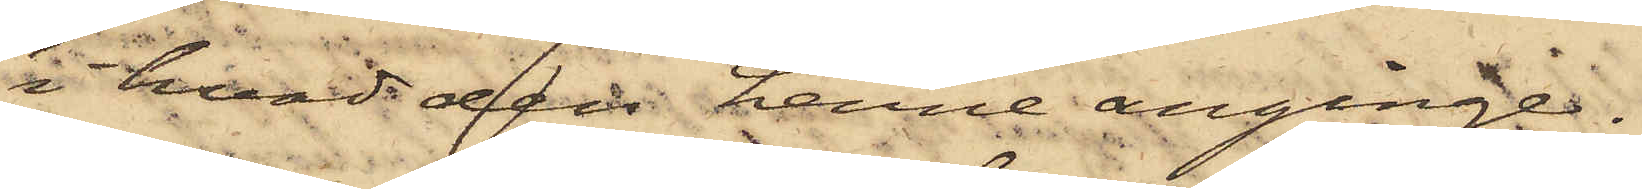i hvad den henne anginge.
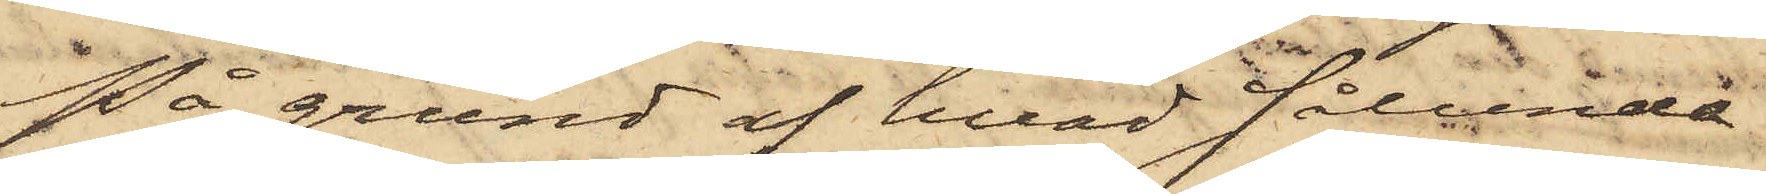På grund af hvad sålunda
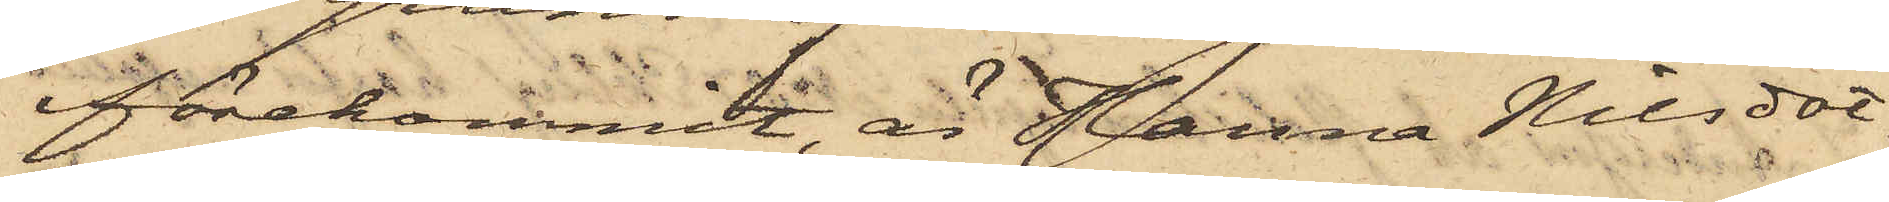förekommit, är Hanna Nilsdot¬
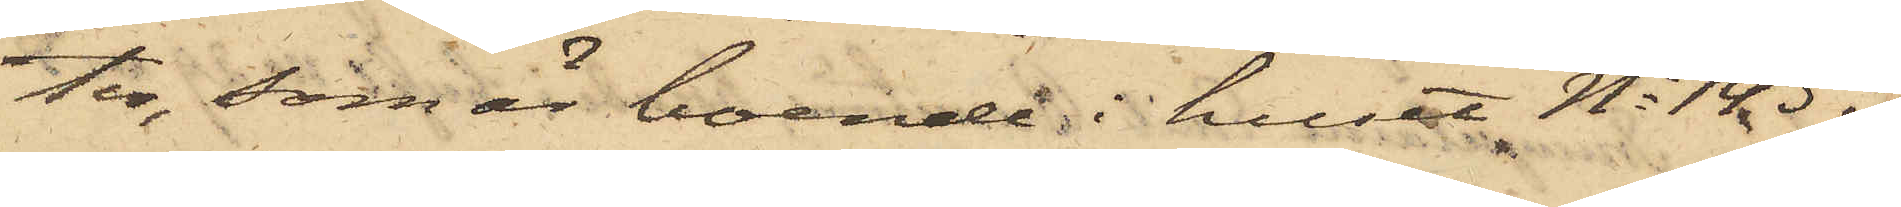ter, som är boende i huset No 143 i
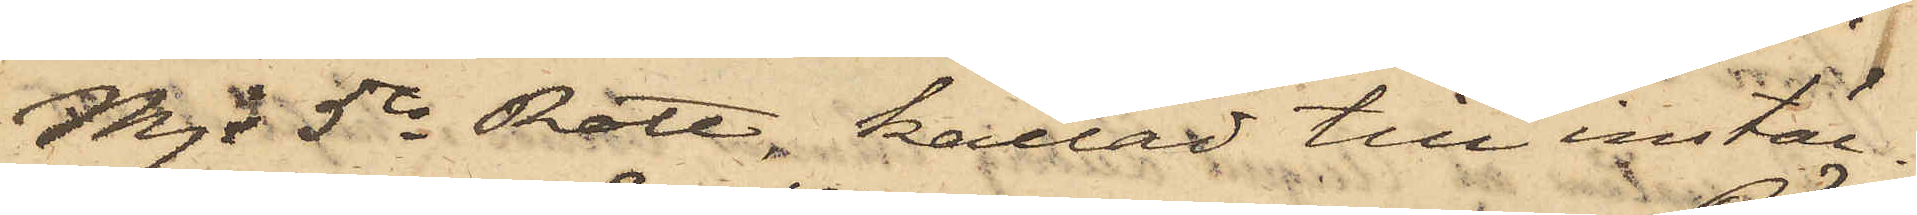Mjs 5te Rote, kallad till instäl¬
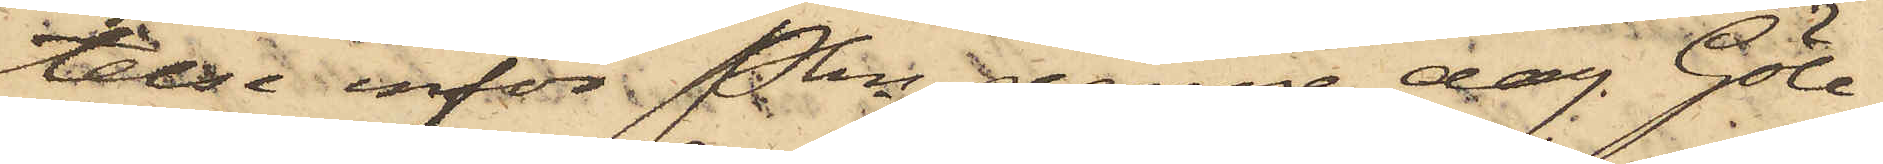lelse inför Pkn denna dag. Göte¬
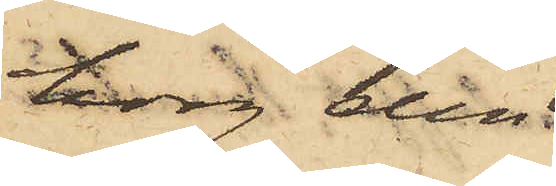borg den
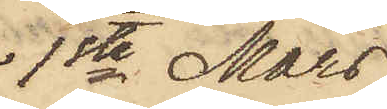1ste Mars
